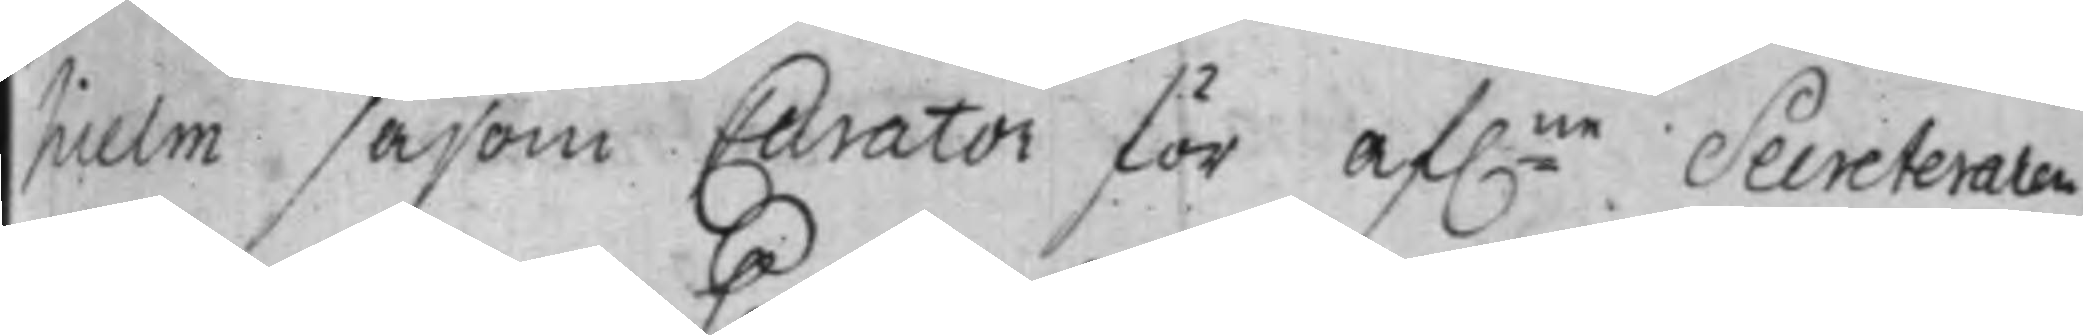hielm såsom Curator för af:ne Secreteraren
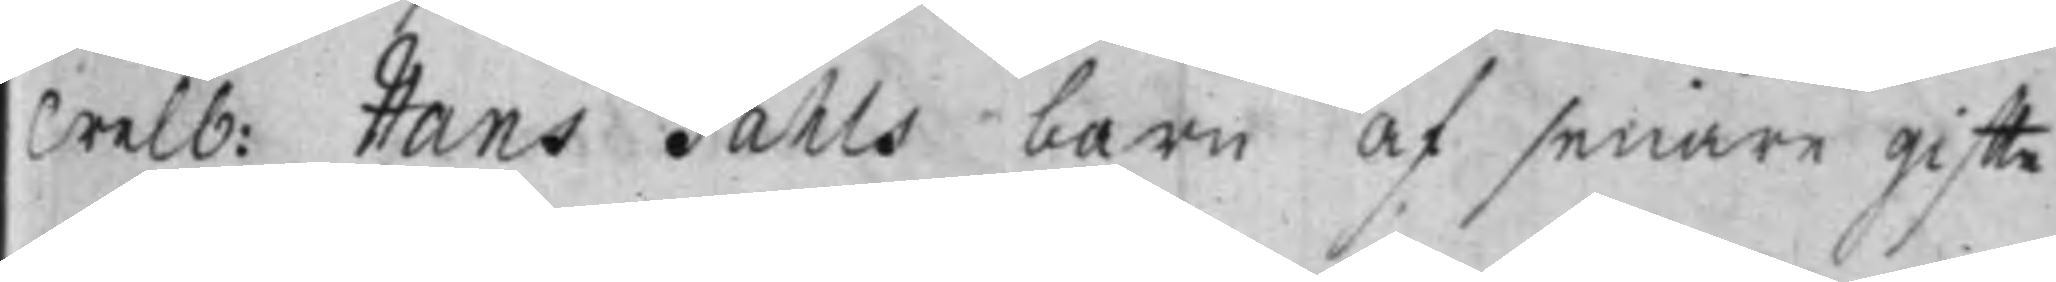Welb: Hans Pahls barn af senare Giffte
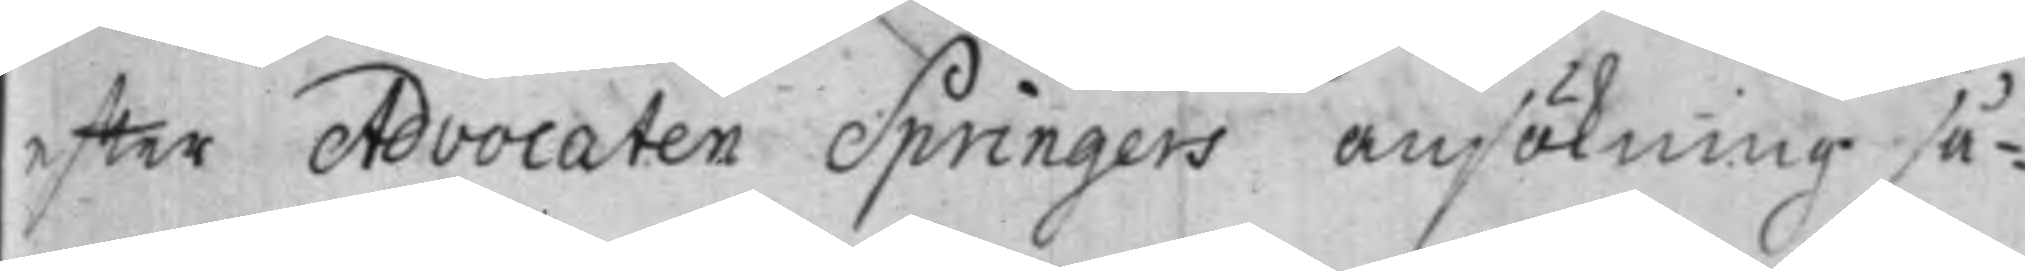effter Advocaten Springers ansökning så¬
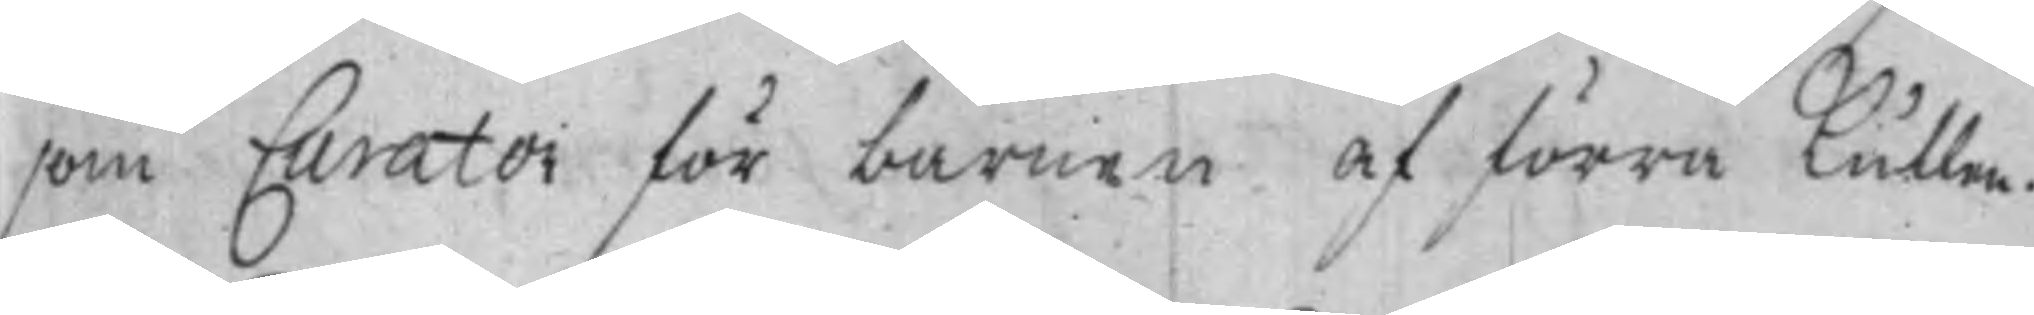som Curator för barnen af förra Kullen.
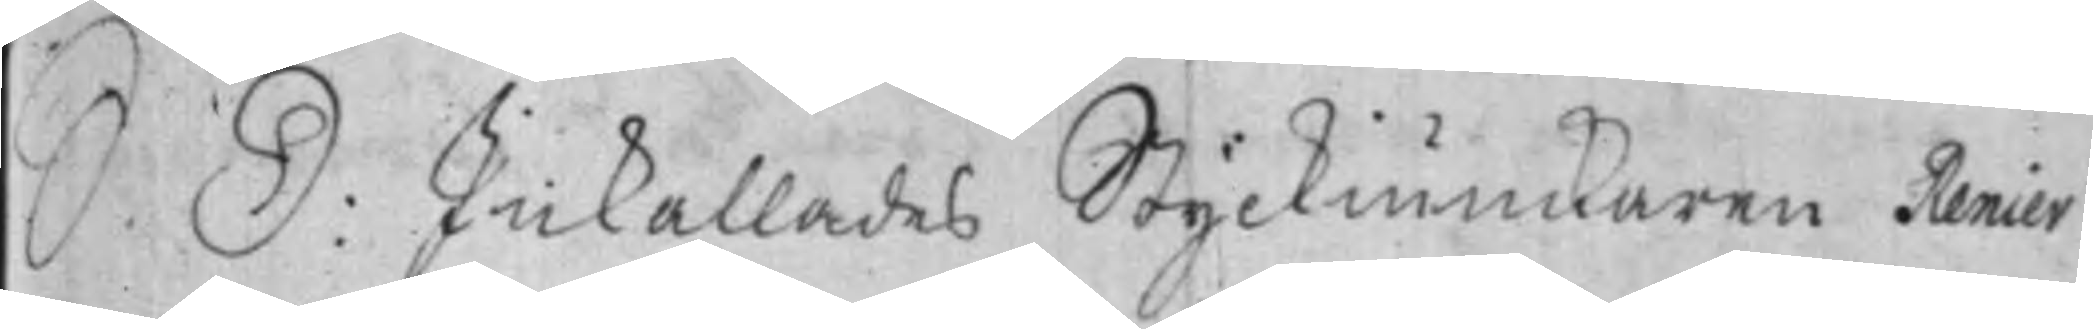S. D: Inkallades Styckiunckaren Renier
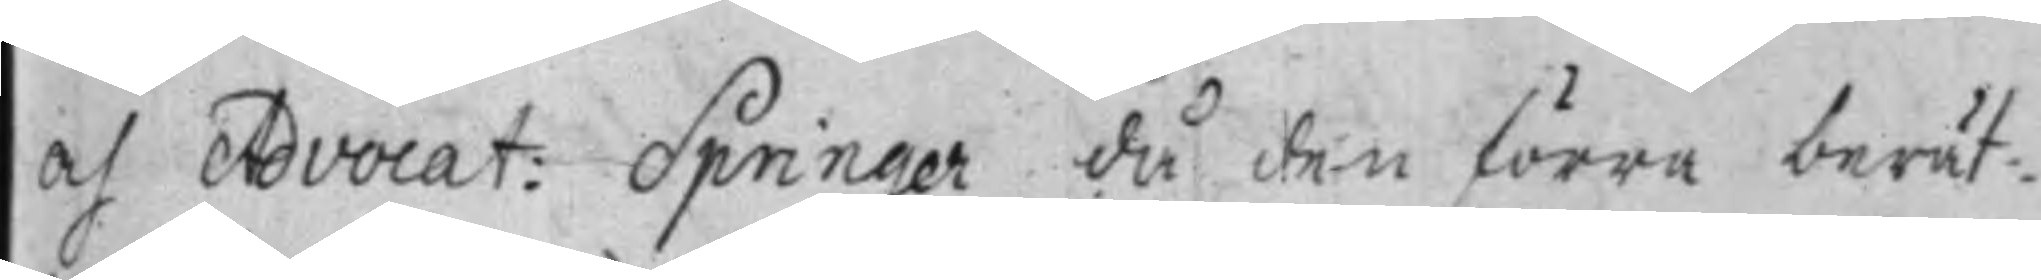af Advocat: Springer då den förra berät¬
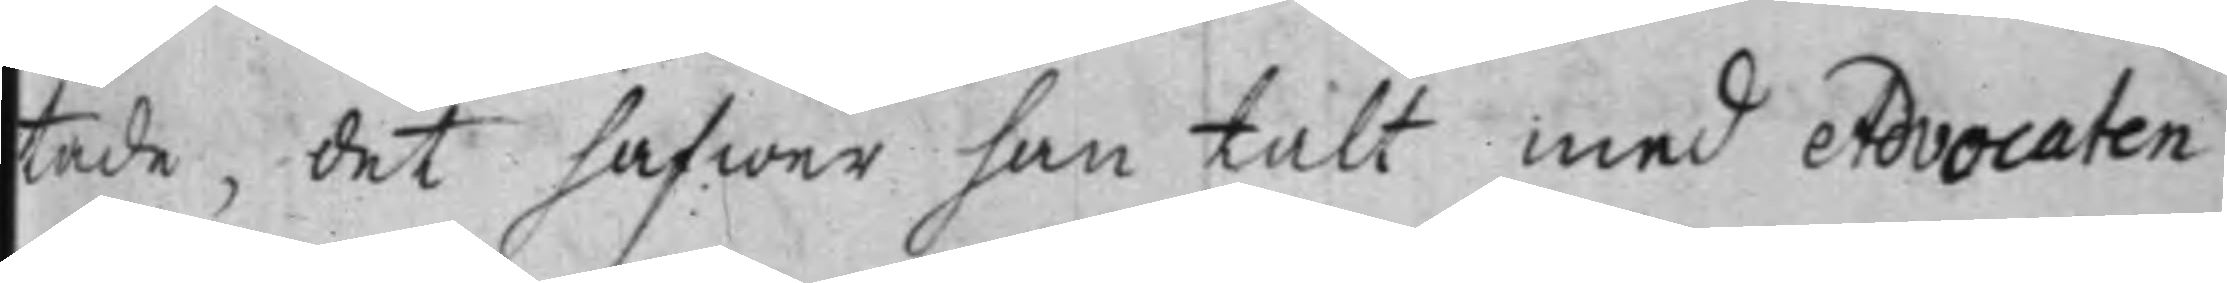tade, det hafwer han talt med Advocaten
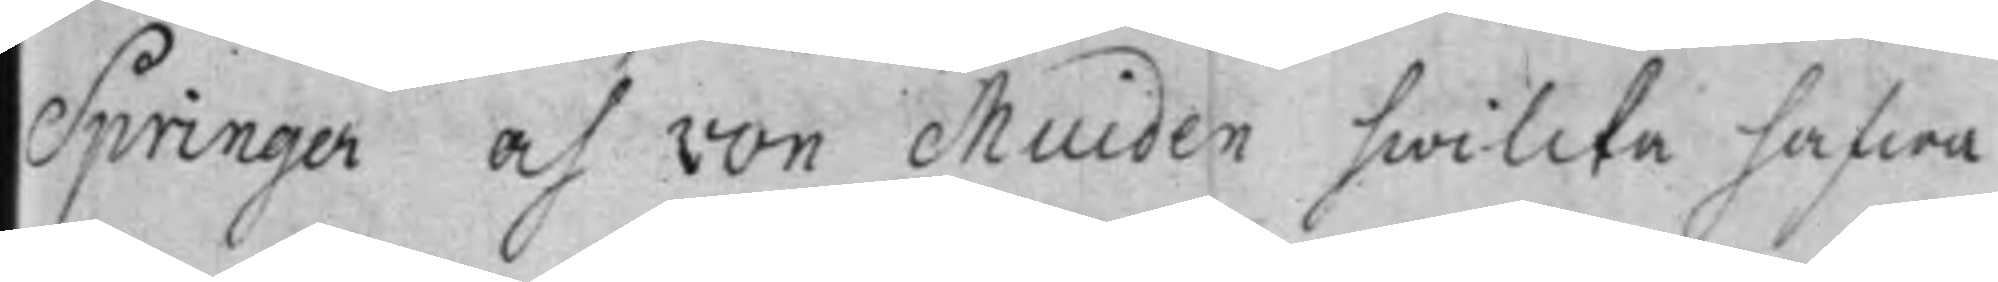Springer och von Muiden hwilcka hafwa
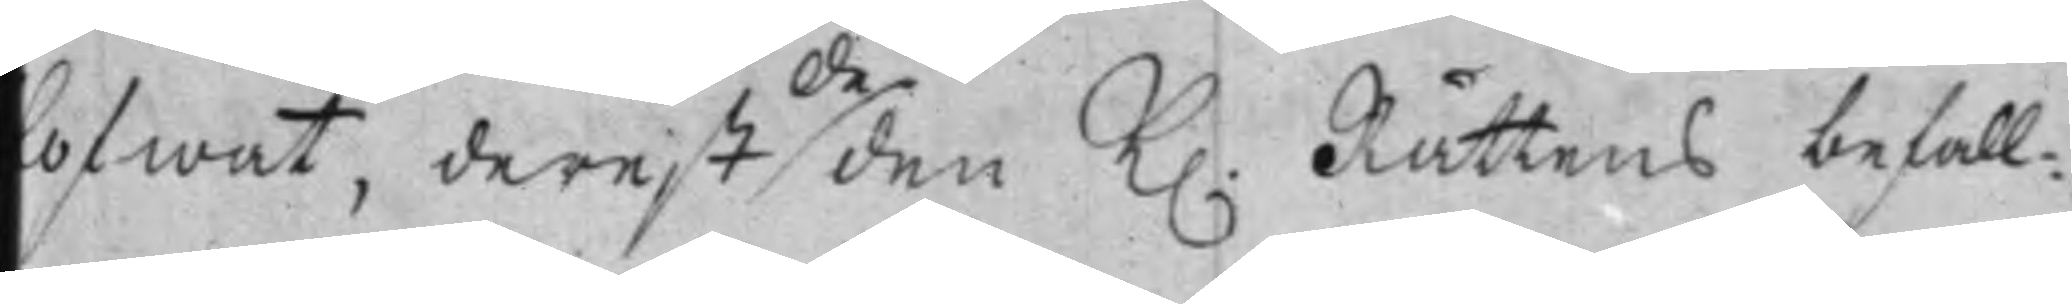ofwat, derest de den K. Rättens befall¬
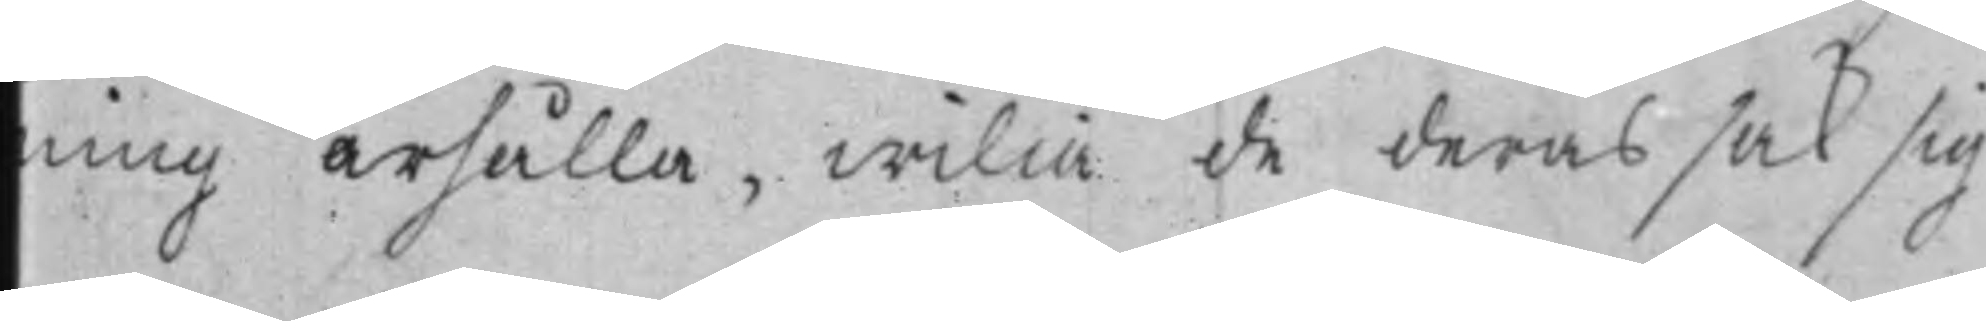ning ärhålla, wilia de deras sak sig
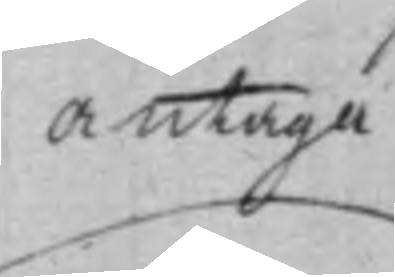antaga
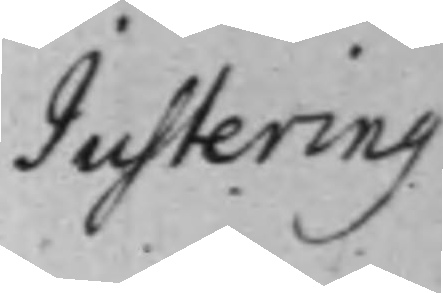Justering
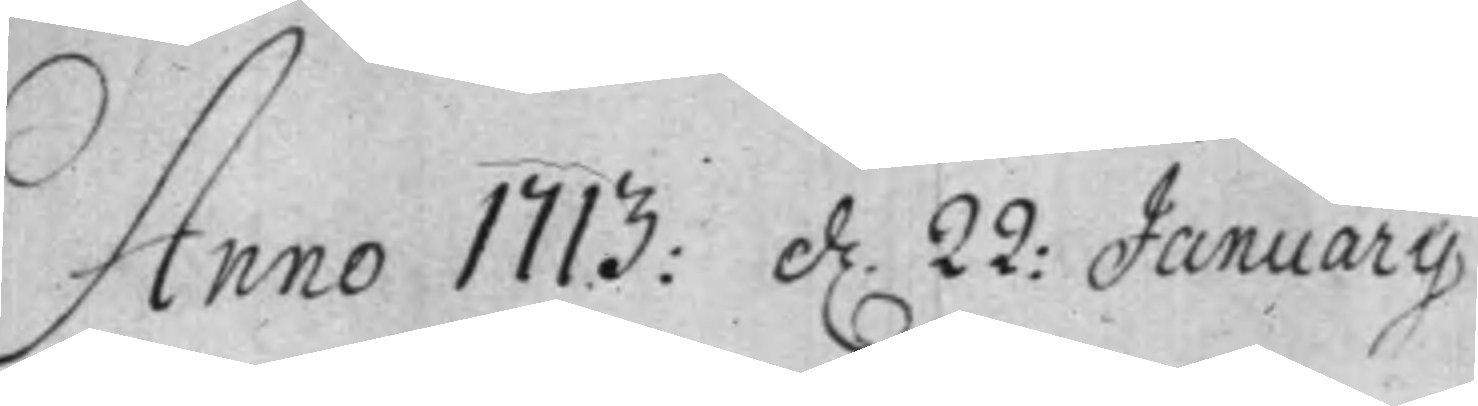Anno 1713: d. 22: Januarij
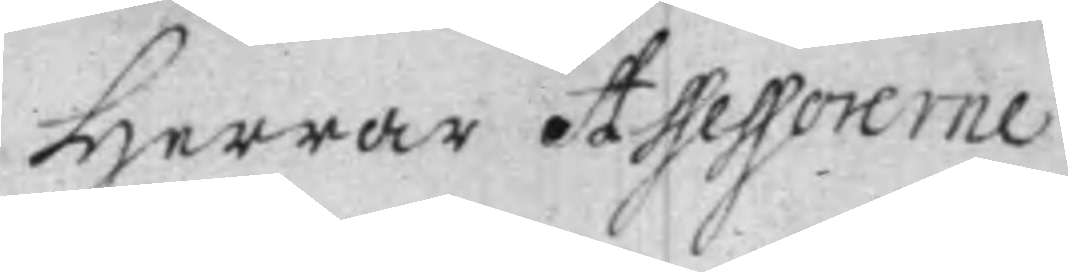Herrar Assessorerne
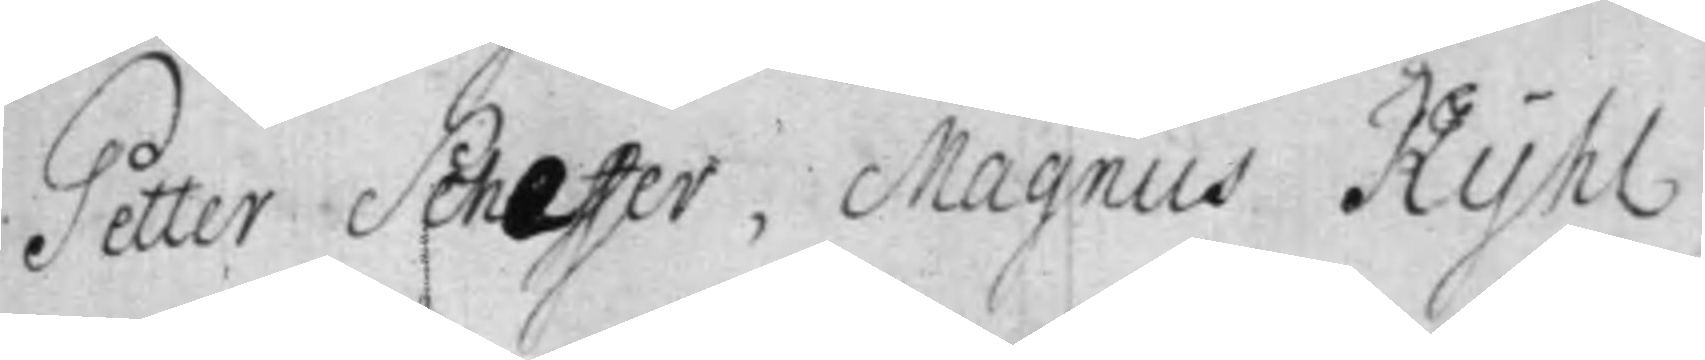Petter Scheffer, Magnus Kyhl,
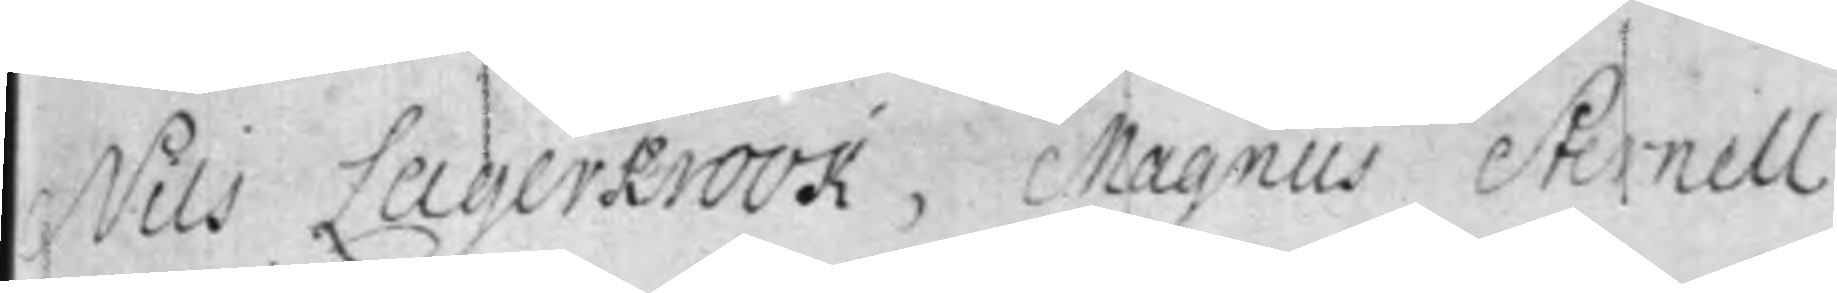Nils Lagerkrook, Magnus Sternell
